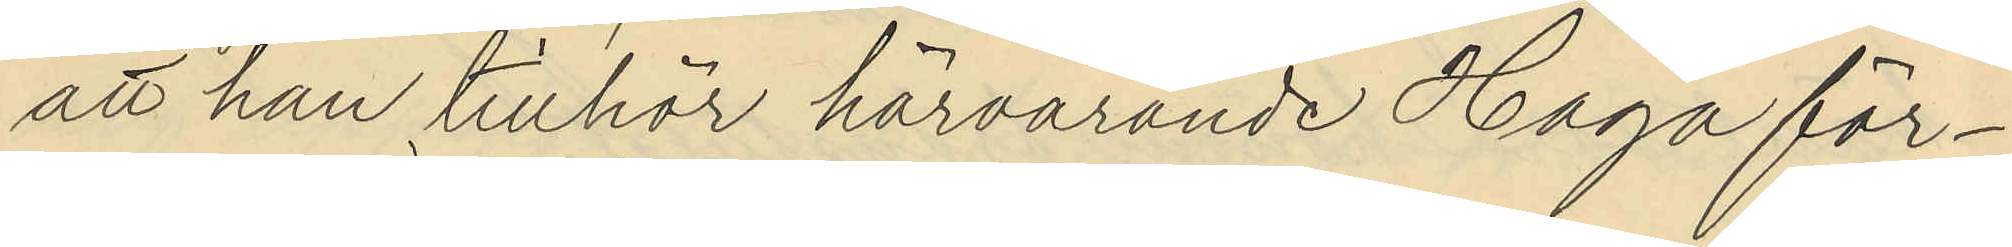att han tillhör härvarande Haga för¬
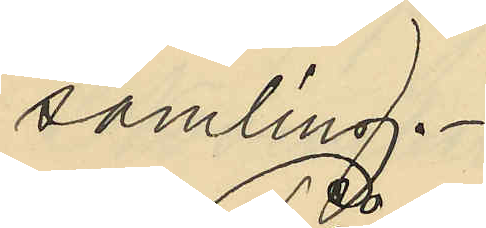samling.
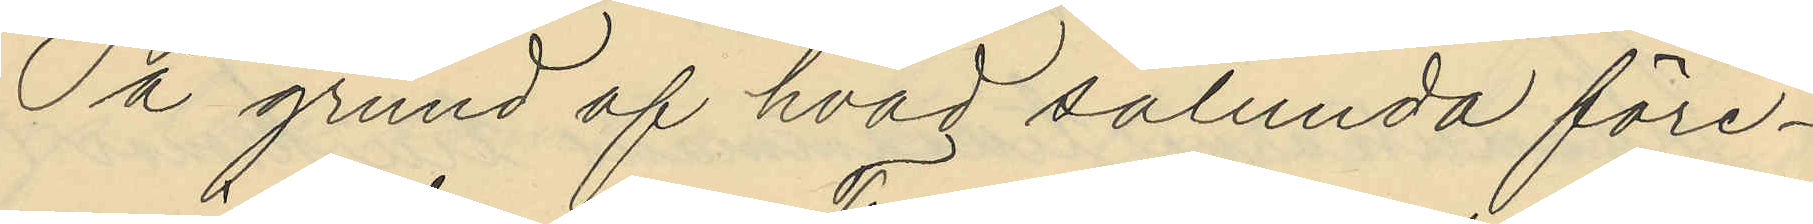På grund af hvad sålunda före¬
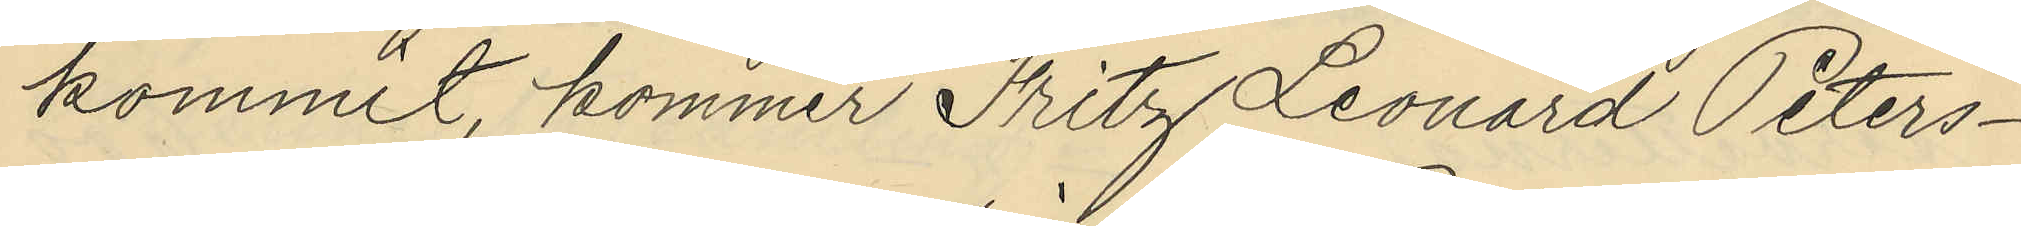kommit, kommer Fritz Leonard Peters¬
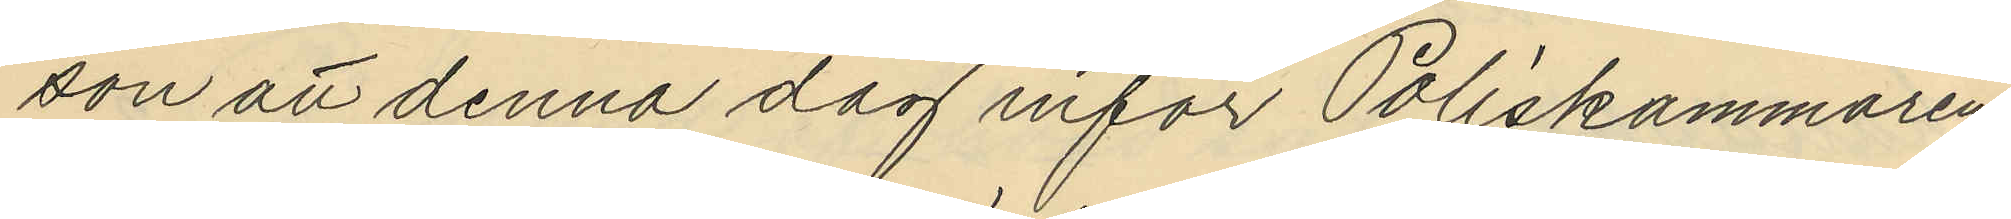son att denna dag inför Poliskammaren
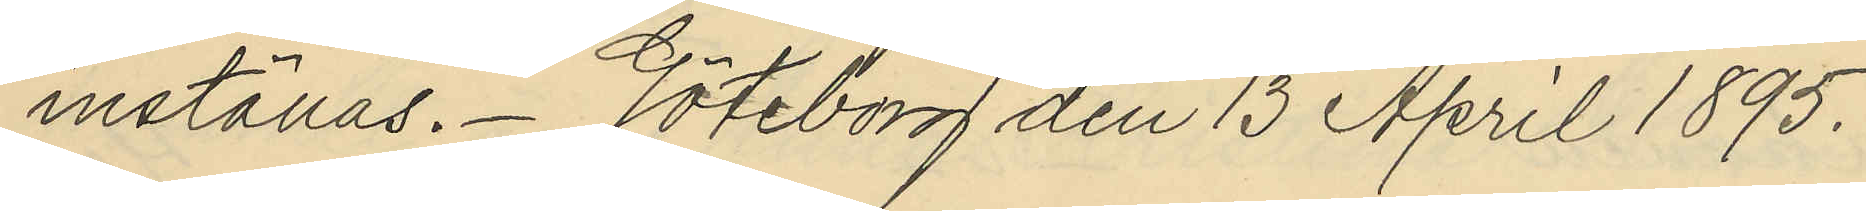inställas. Göteborg den 13 April 1895.
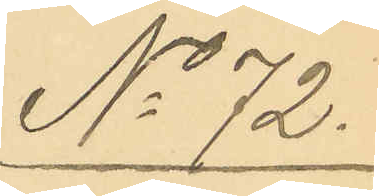No 72.
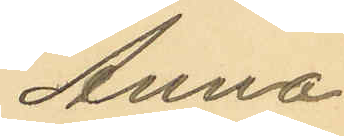Anna
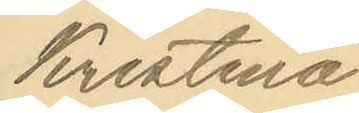Kristina
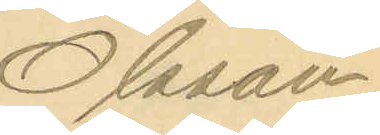Olsson.
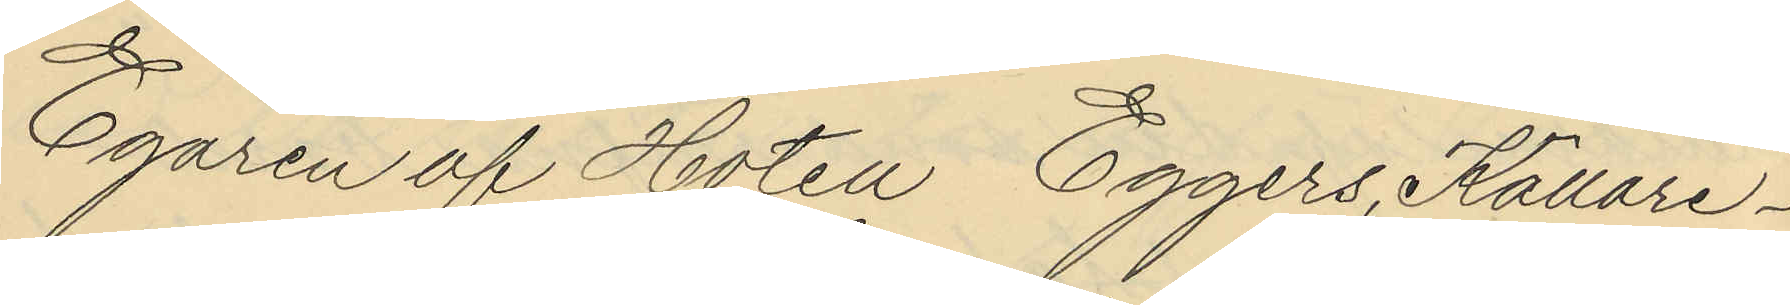Egaren af Hoten Eggers Källare¬
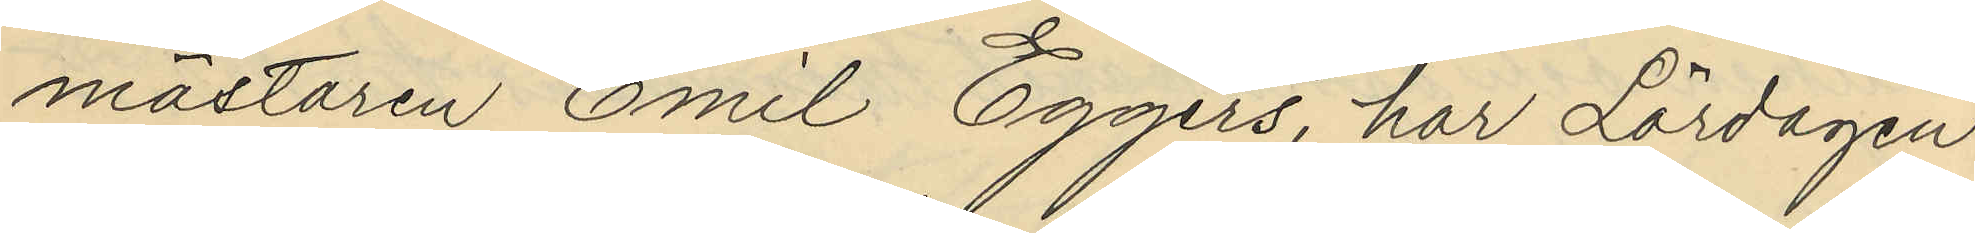mästaren Emil Eggers, har Lördagen
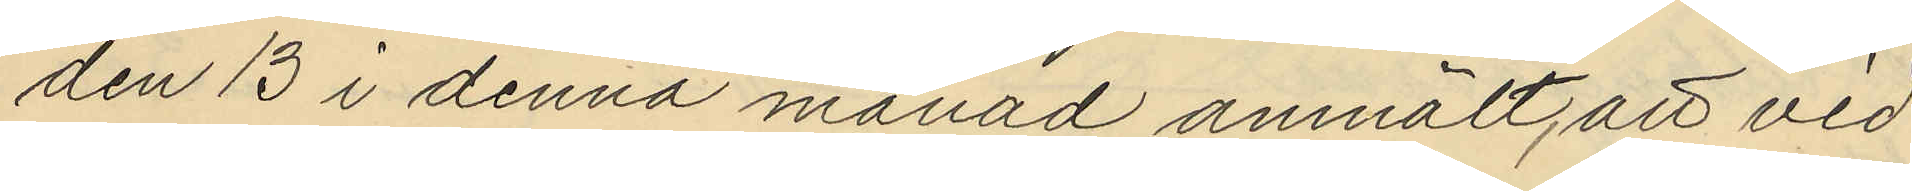den 13 i denna månad anmält, att vid
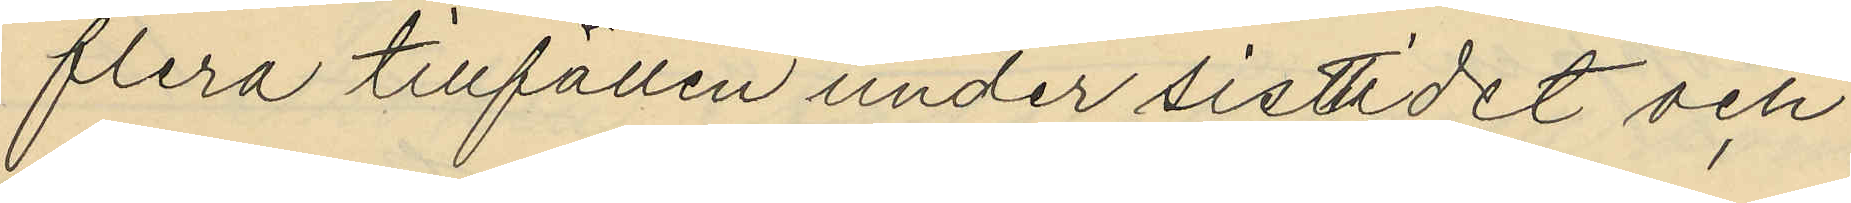flera tillfällen under sistlidet och
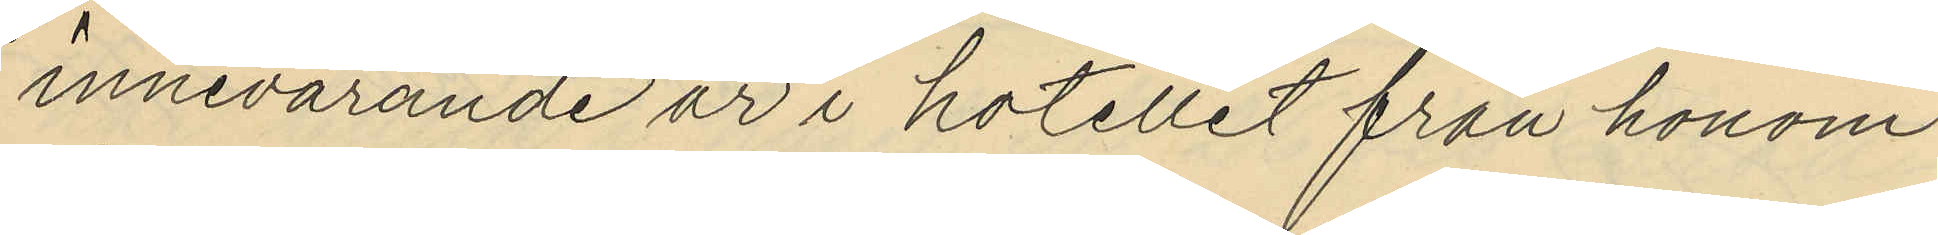innevarande år i hotellet från honom
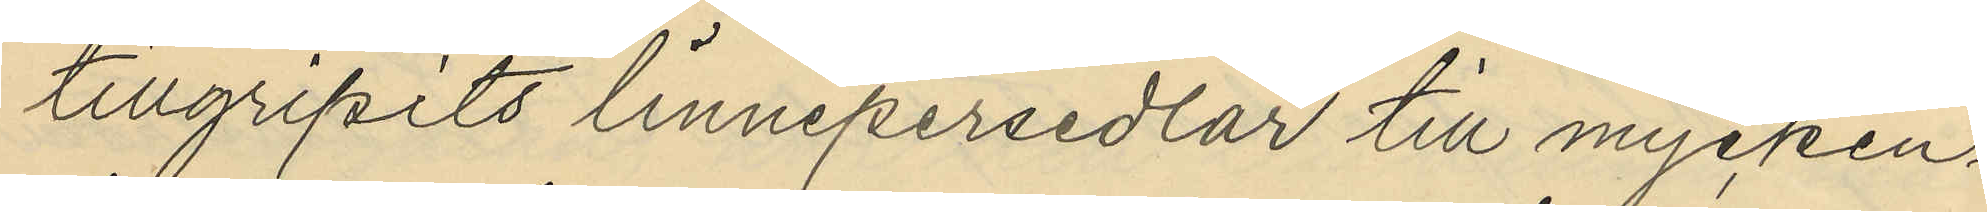tillgripits linnepersedlar till mycken¬
